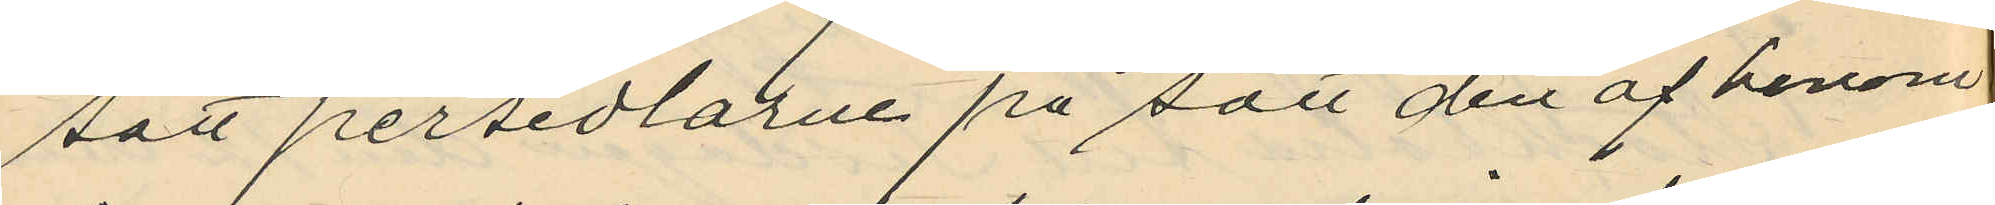satt persedlarne på sätt den af honom
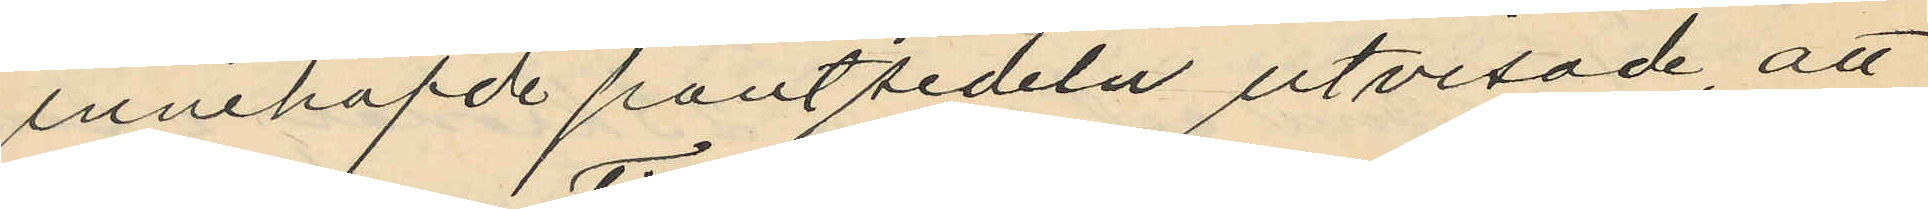innehafde pantsedeln utvisade, att
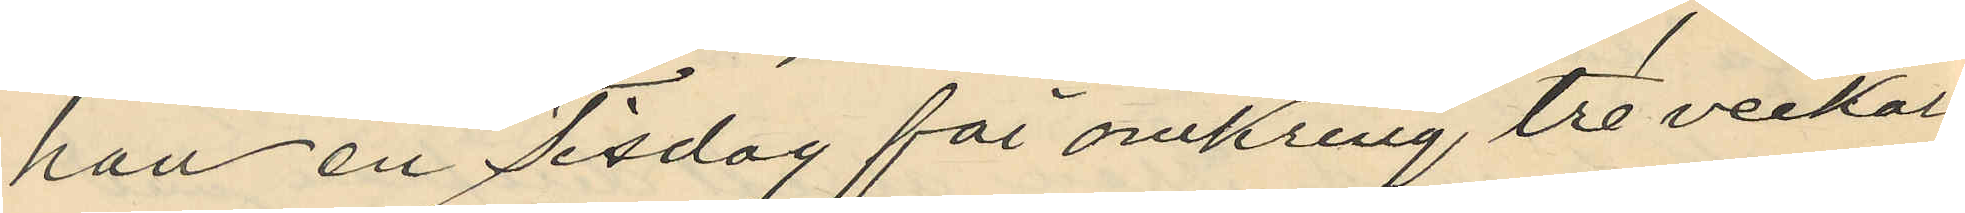han en Tisdag för omkring tre veckor
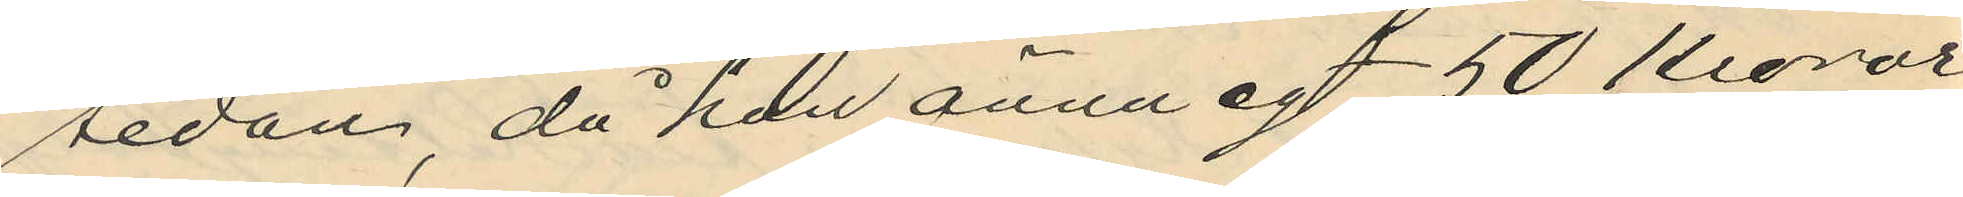sedan, då han ännu egt 50 Kronor
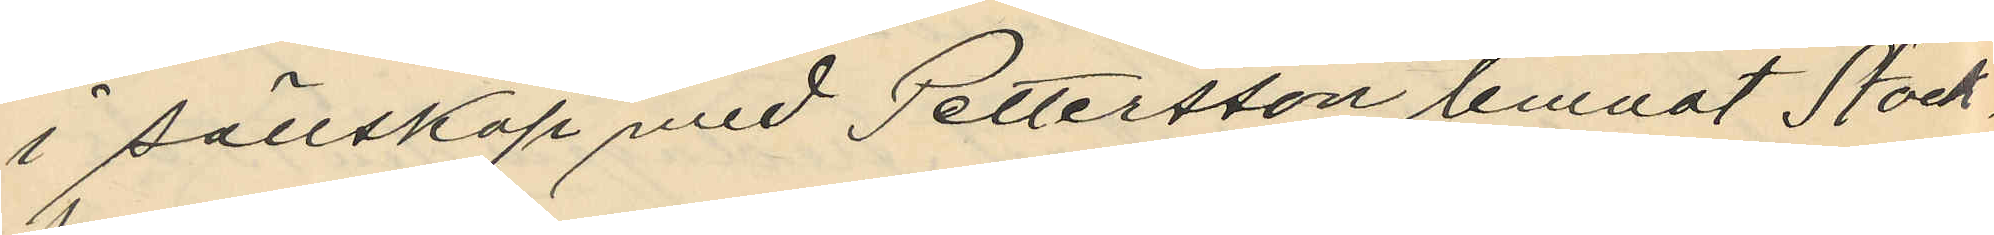i sällskap med Pettersson lemnat Stock¬
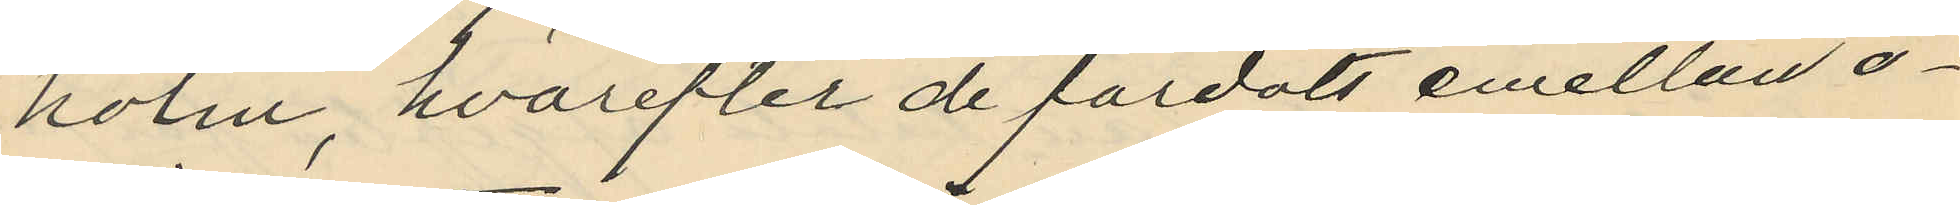holm, hvarefter de färdats emellan o¬
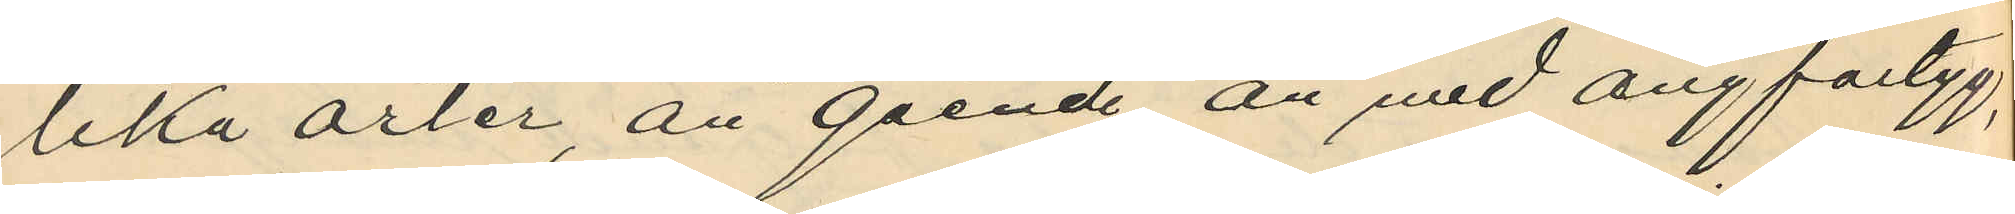lika orter, än gående, än med ångfartyg,
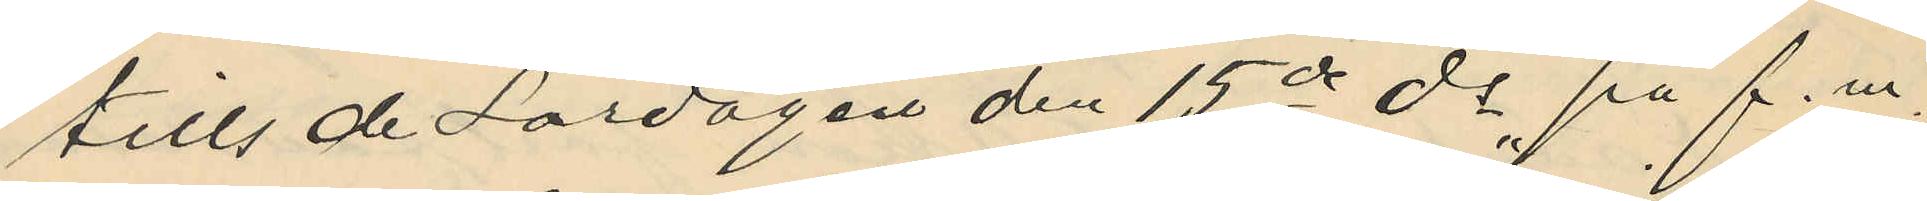tills de Lördagen den 15de ds på f.m.
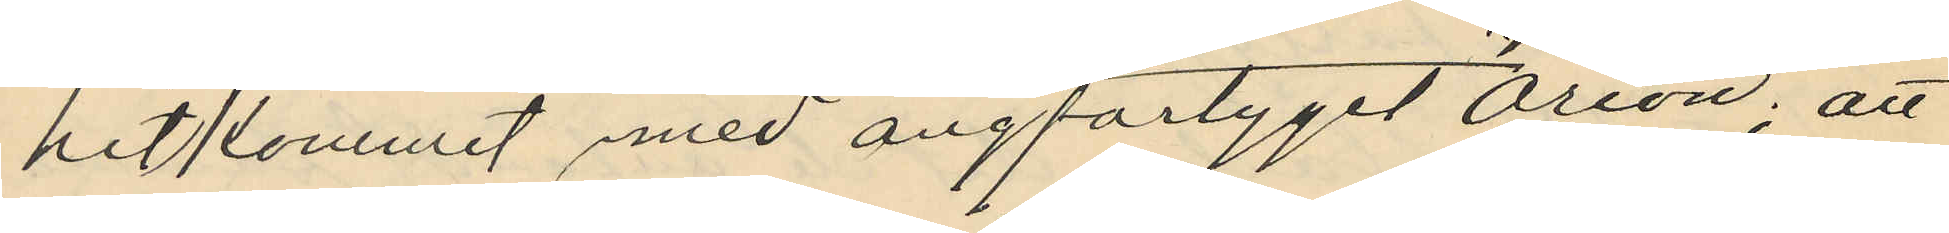hitkommit med ångfartyget "Orion"; att
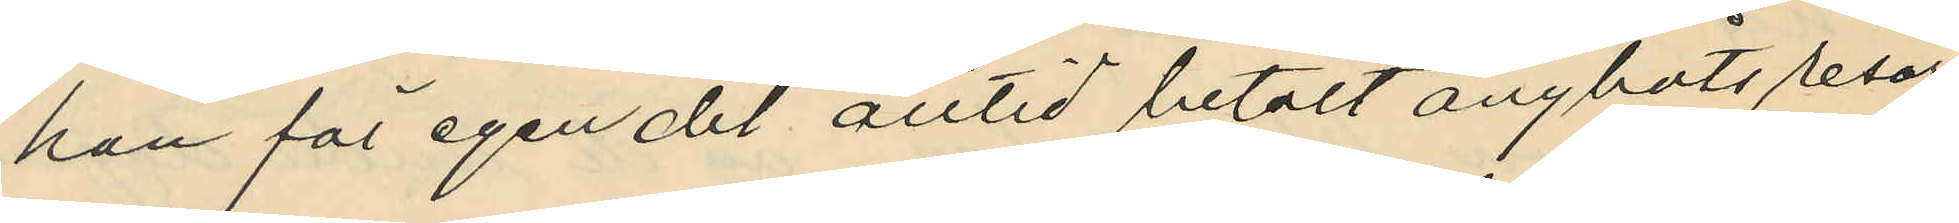han för egen del alltid betalt ångbåtsresor
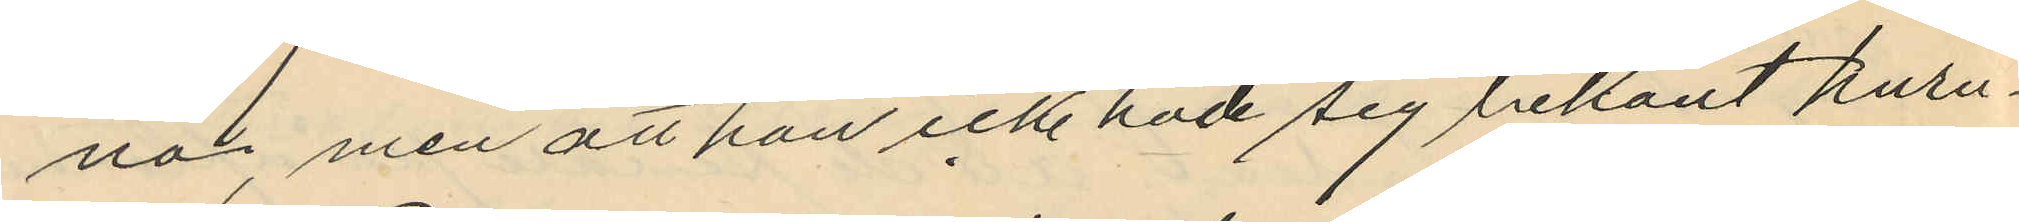na, men att han icke hade sig bekant huru¬
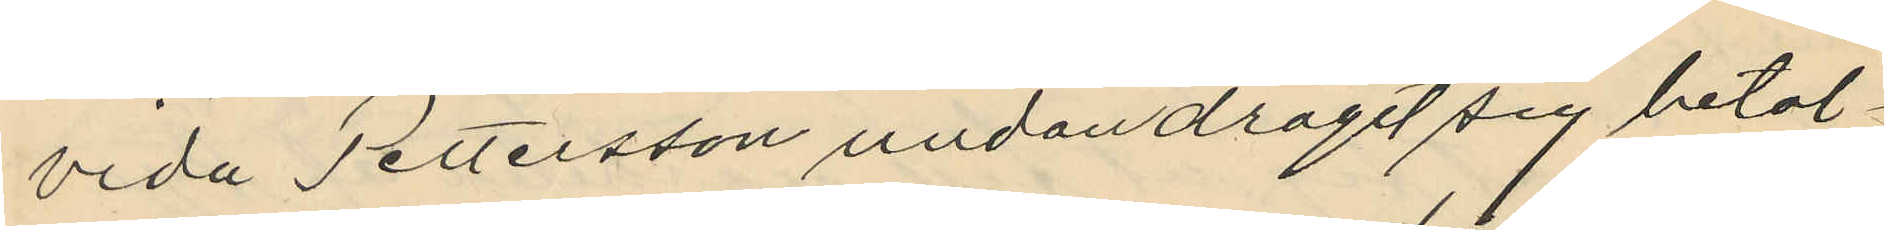vida Pettersson undandragit sig betal¬
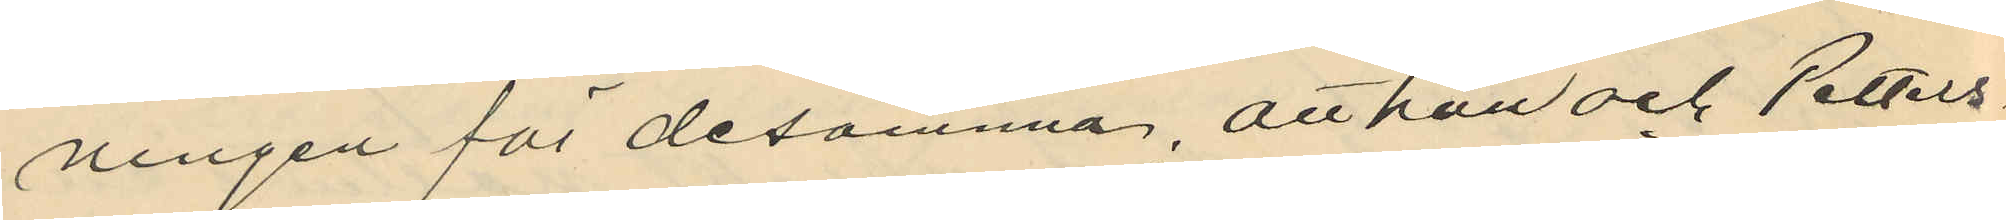ningen för desamma, att han och Petters¬
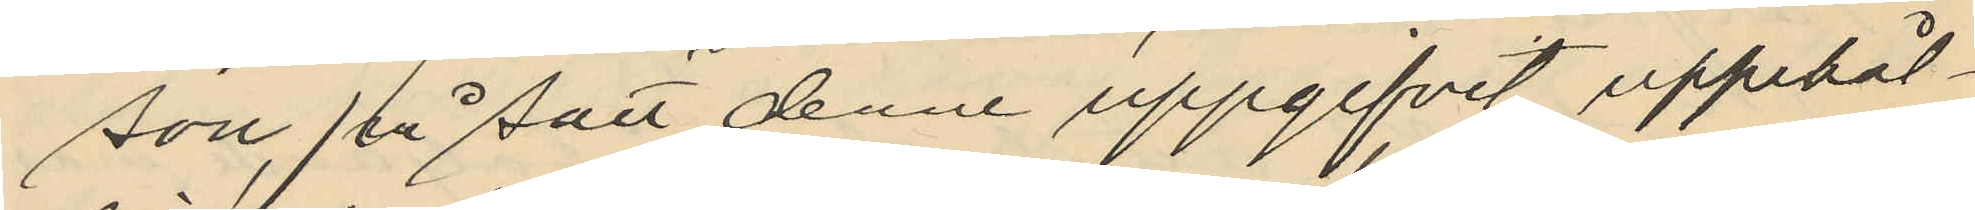son på sätt denne uppgifvit uppehål¬
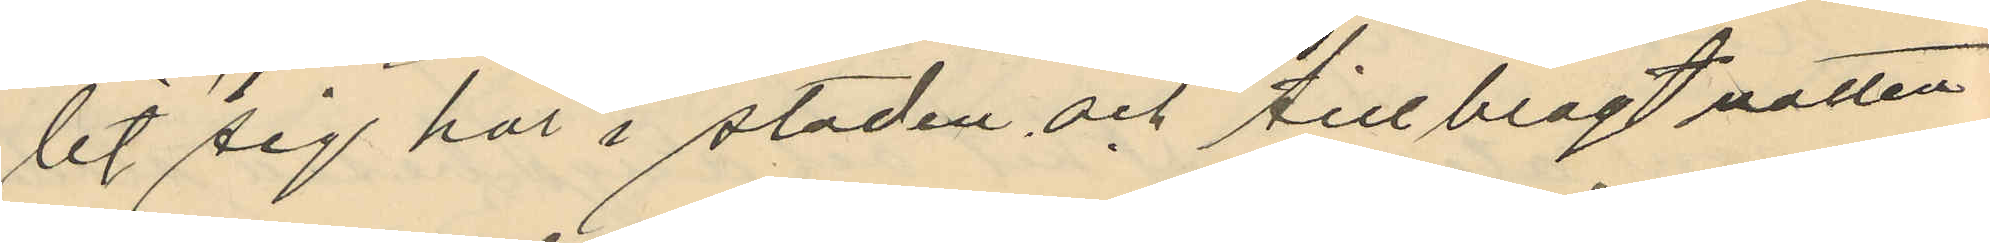lit sig här i staden och tillbragt natten
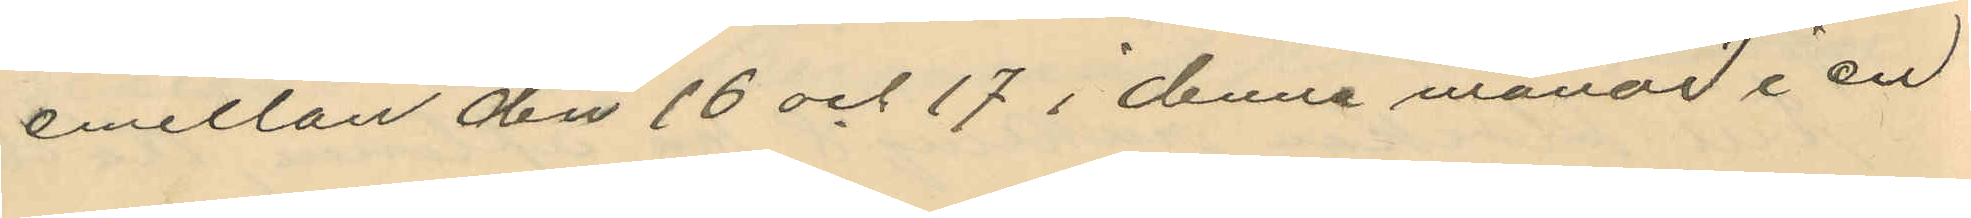emellan den 16 och 17 i denna månad i en
